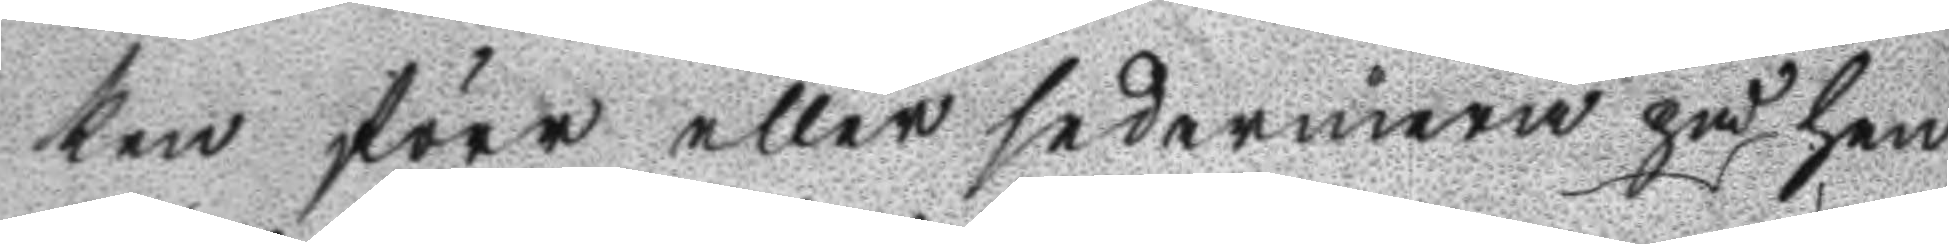ken förr eller sedermera på hen
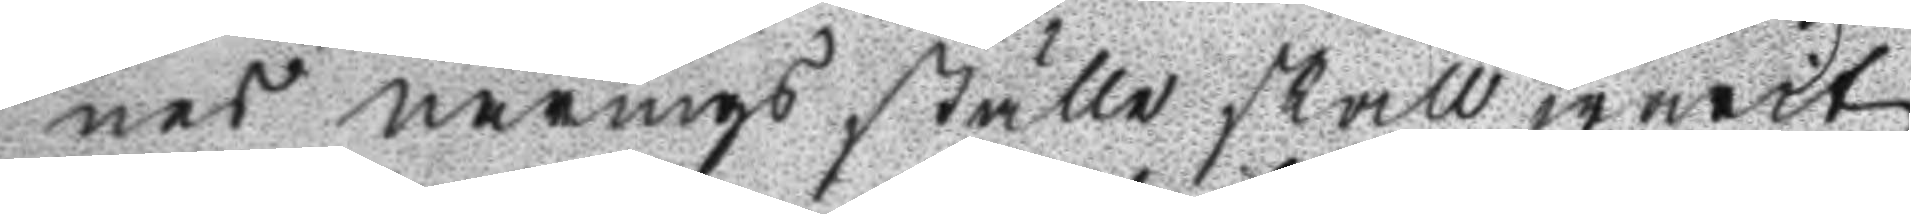nes närings ställe skall warit
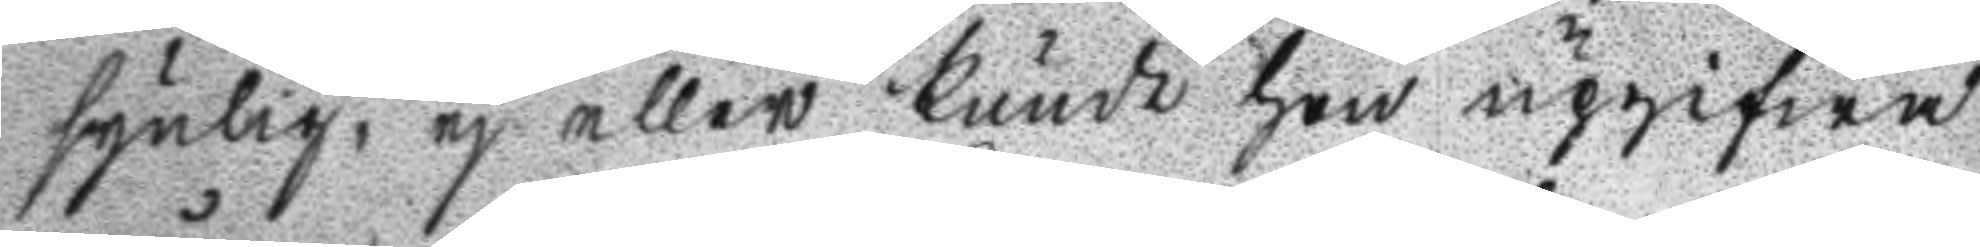synlig, ej eller kunde hon upgifwa
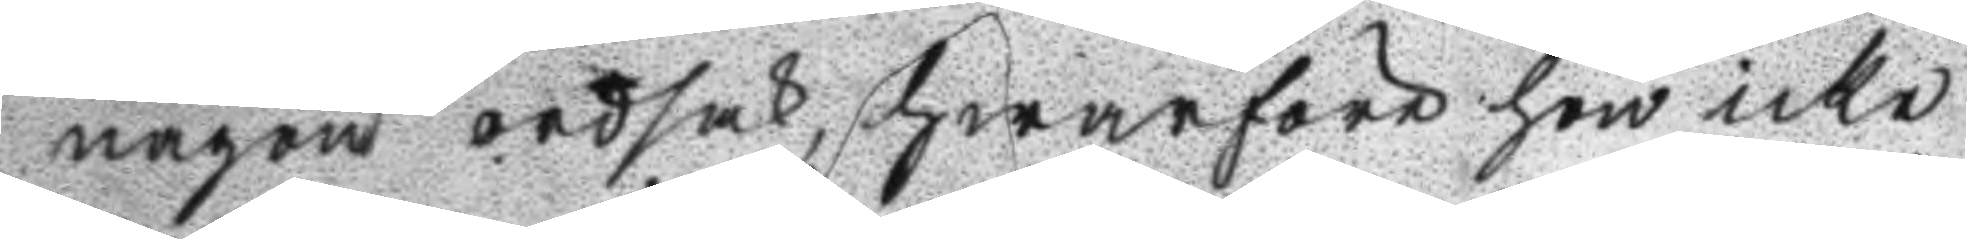någon ordsak hwarföre hon icke
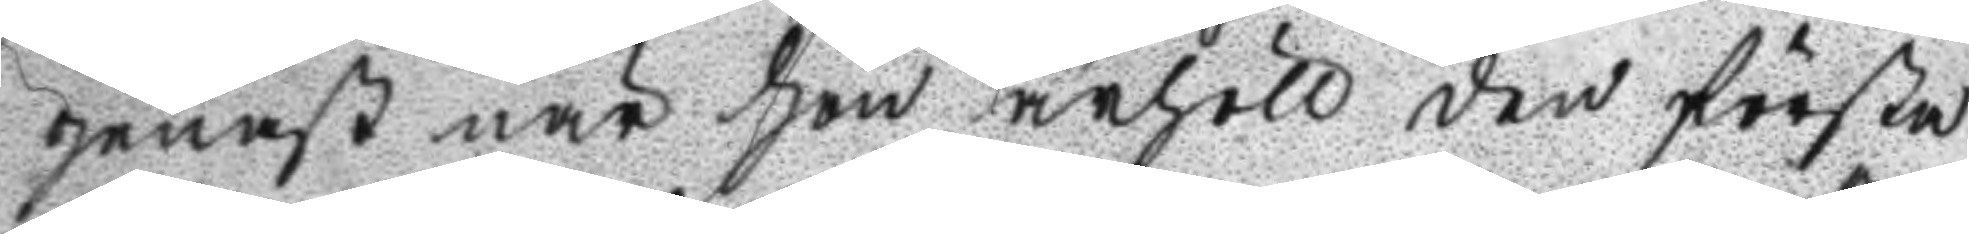genast när hon ärhöll den första
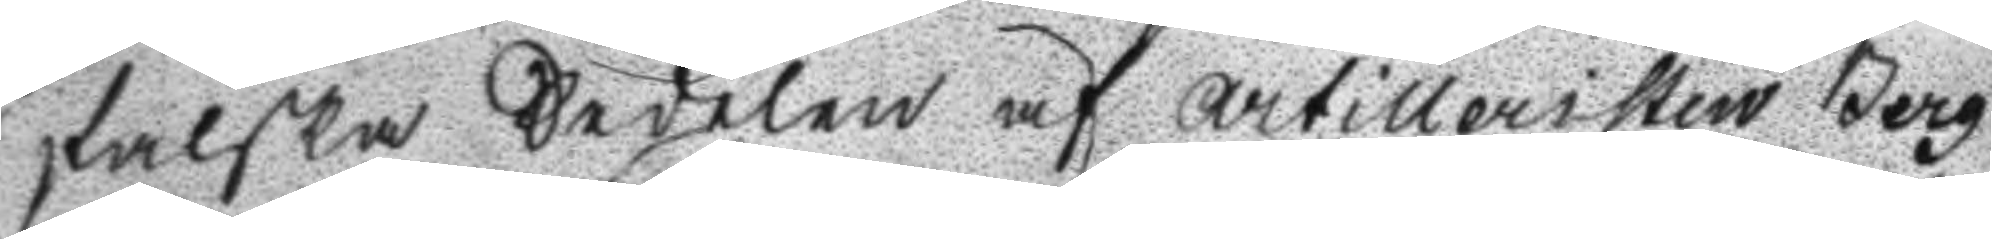falska Sedelen af artilleristen Berg
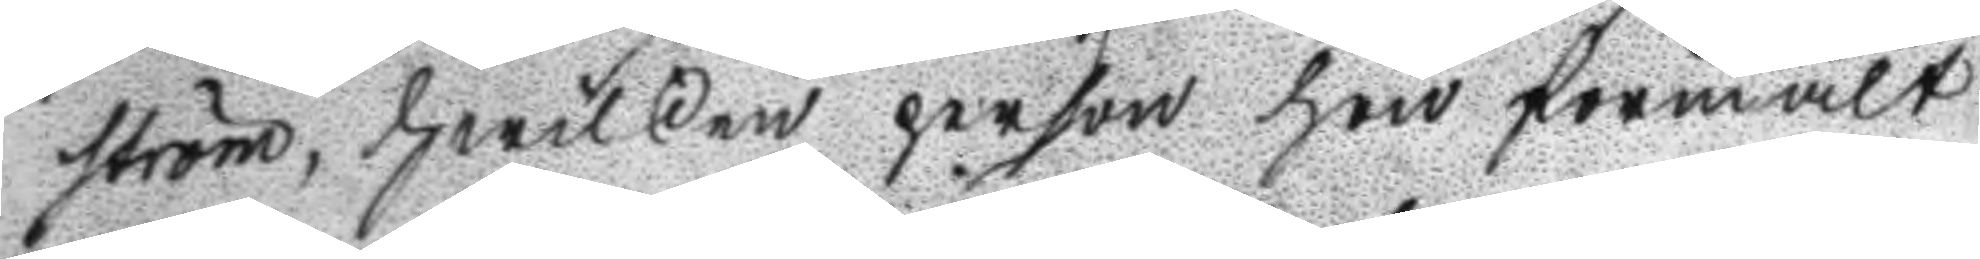ström, hwilken person hon förmält
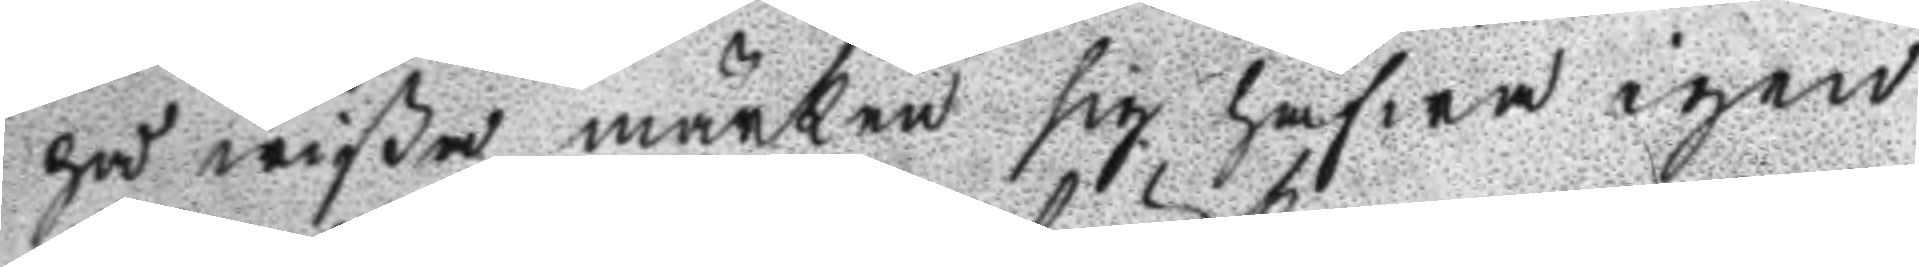på wißa märken sig hafwa igen
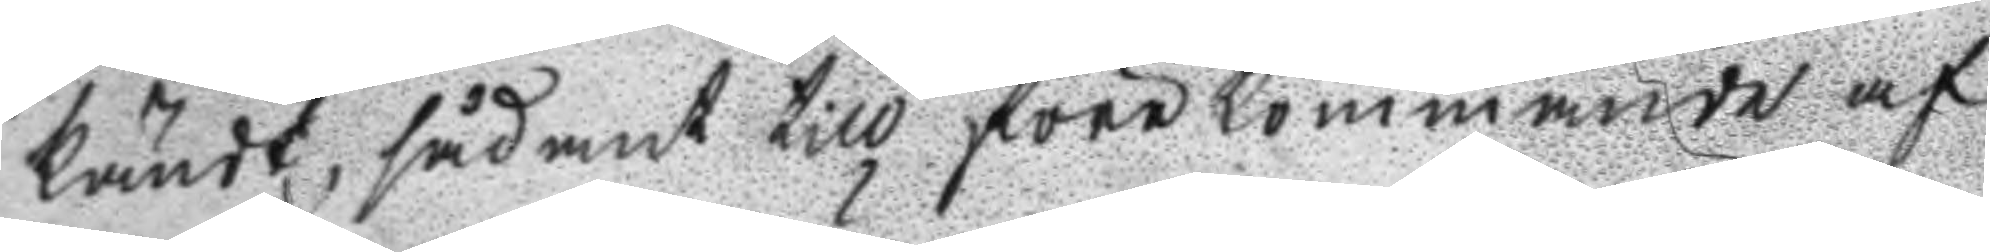kändt, sådant till förekommande af
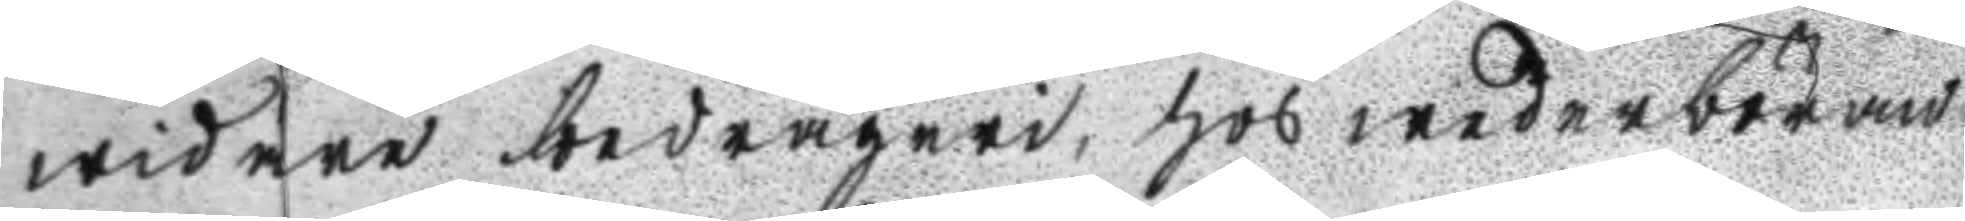widare bedrägeri, hos wederböran
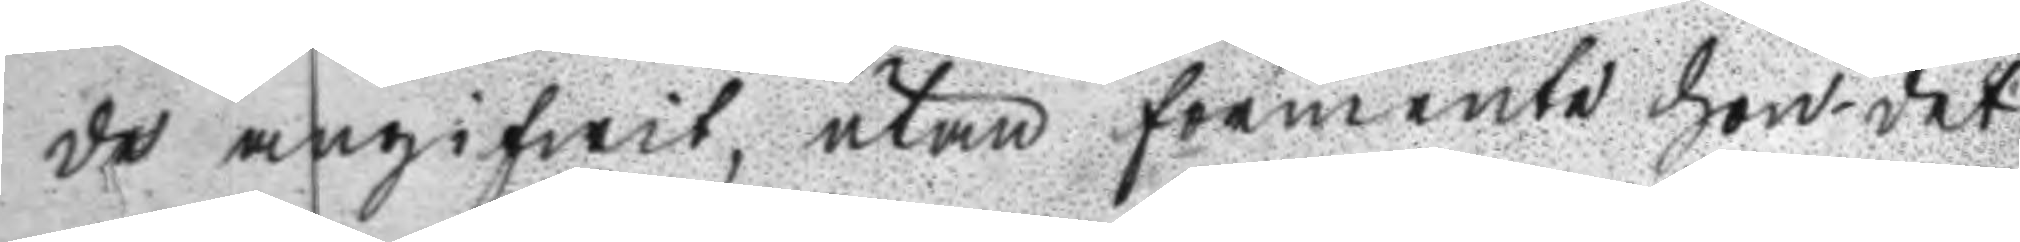de angifwit, utan förmente hon det
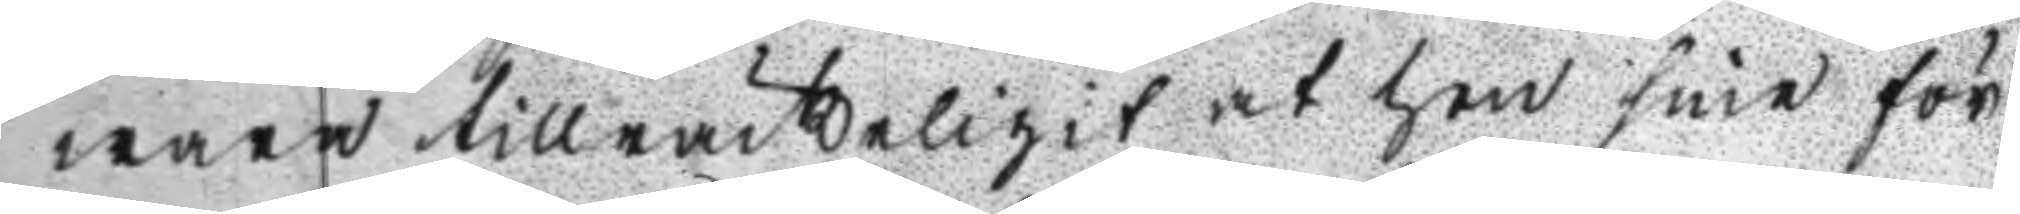wara tillräckligit at hon sine för
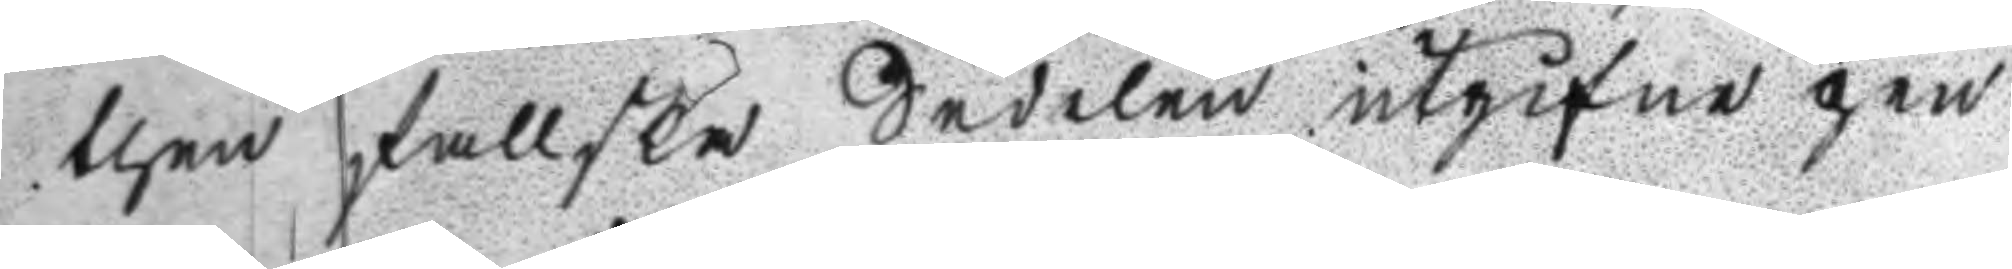then fallska Sedelen utgifne pen
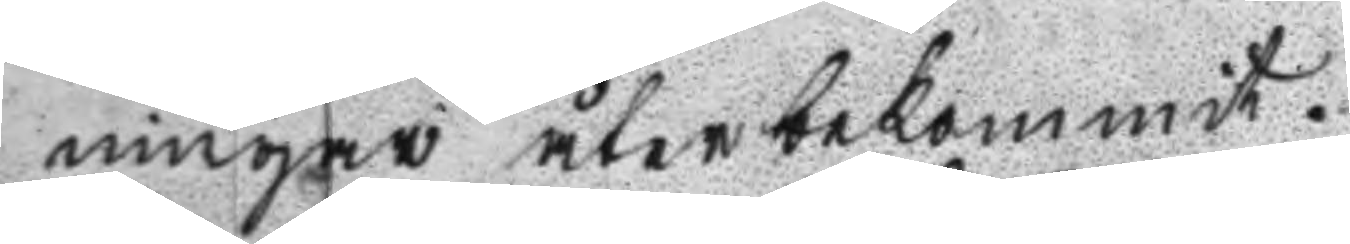ningar återbekommit.
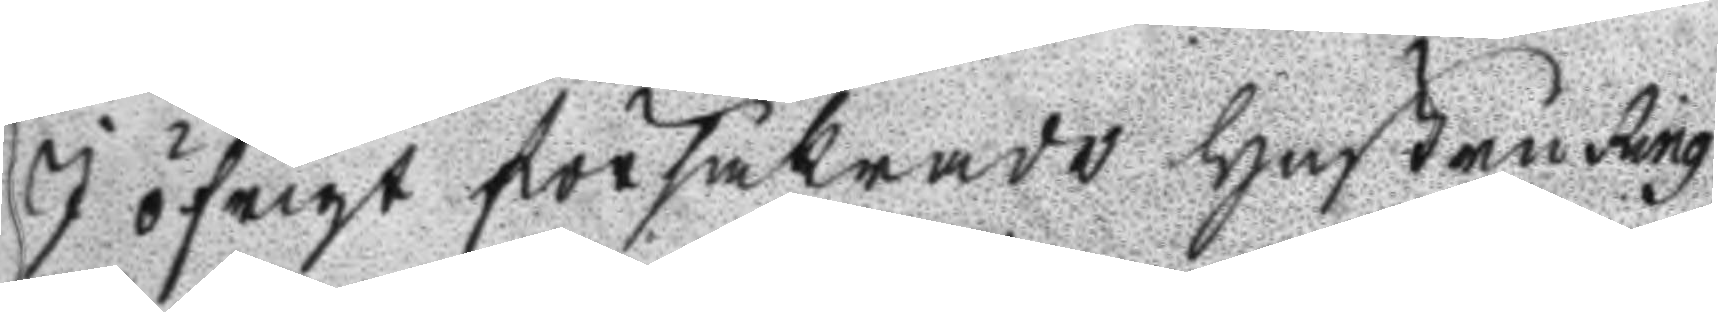I öfrigt försäkrade Hustru Ring
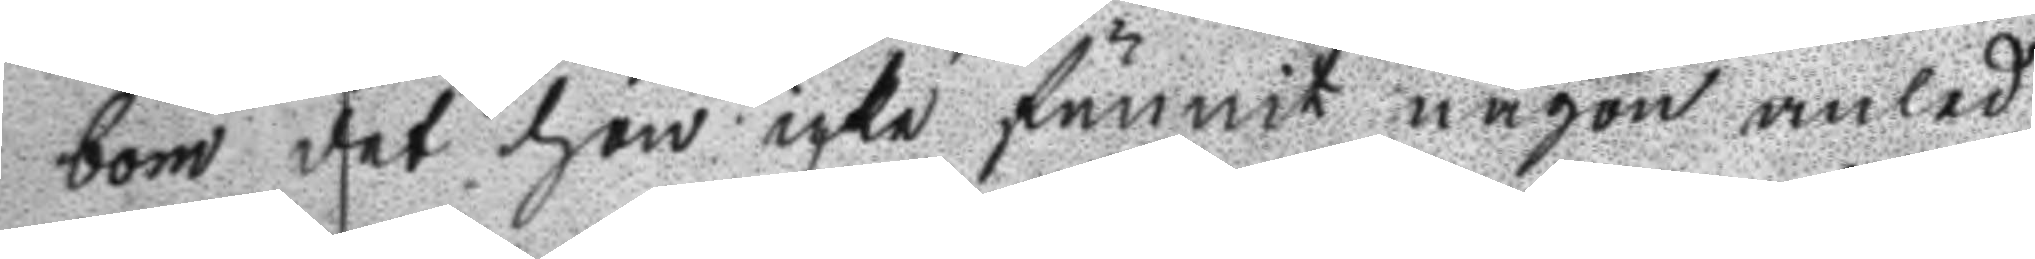bom det hon icke funnit någon anled
